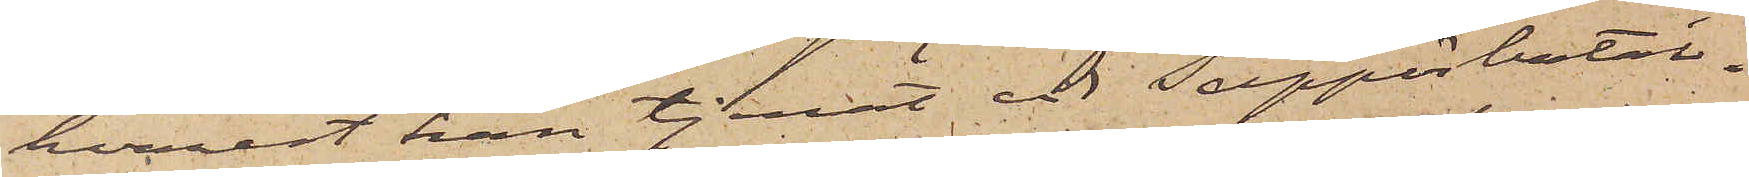hvarest han tjenat vid Sappörbatal¬
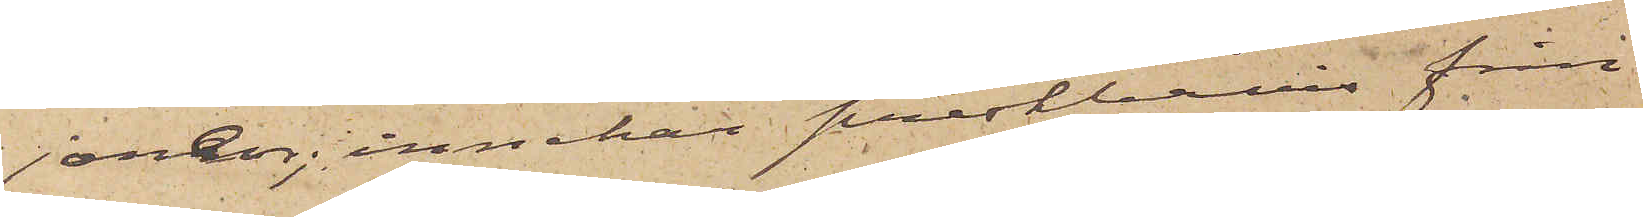jonen; innehar prestbevis från
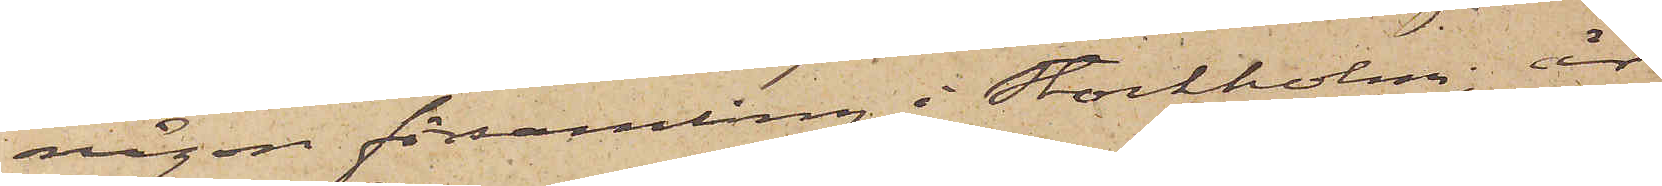någon församling i Stockholm, är
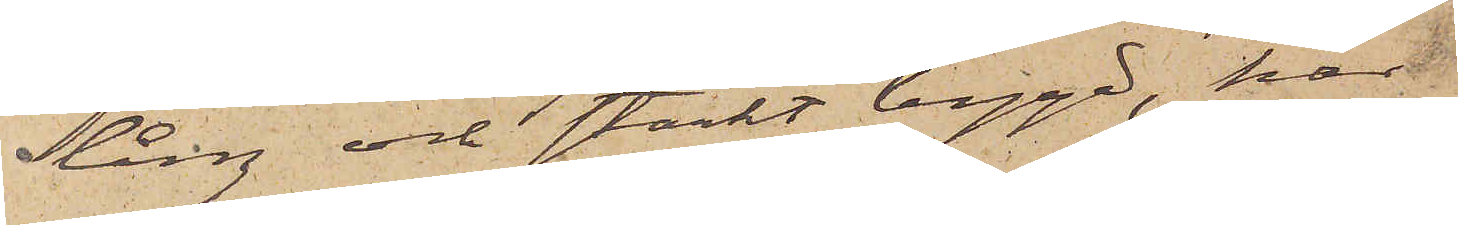lång och starkt bygd, har
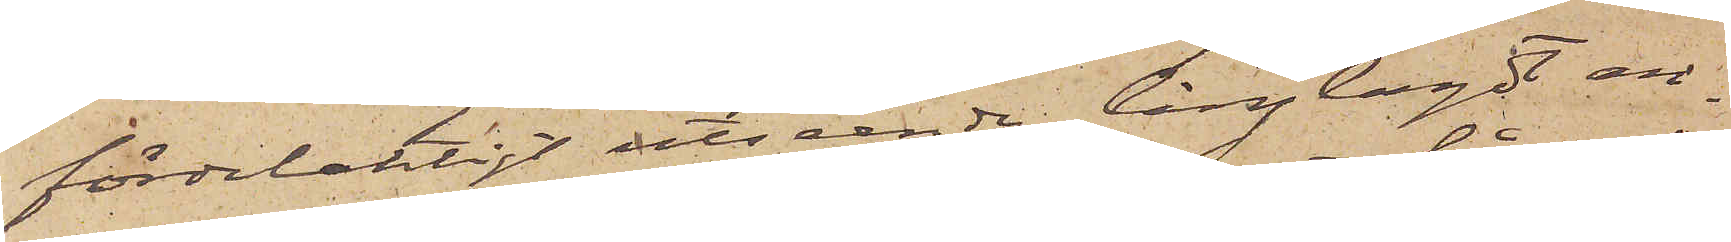fördelaktigt utseende, långlagdt an¬
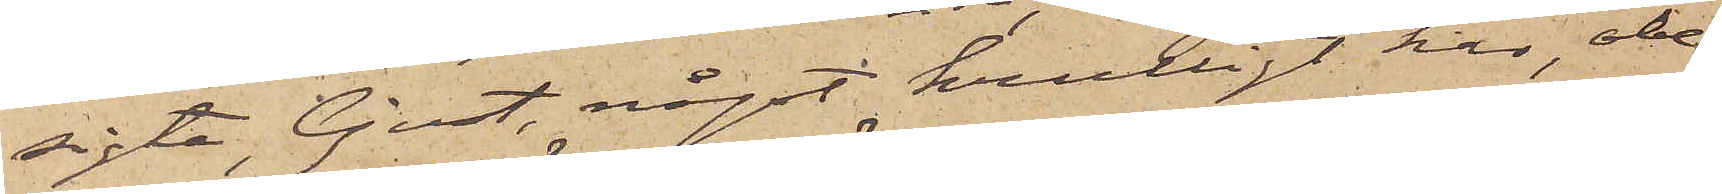sigte, ljust, något krulligt hår, obe¬
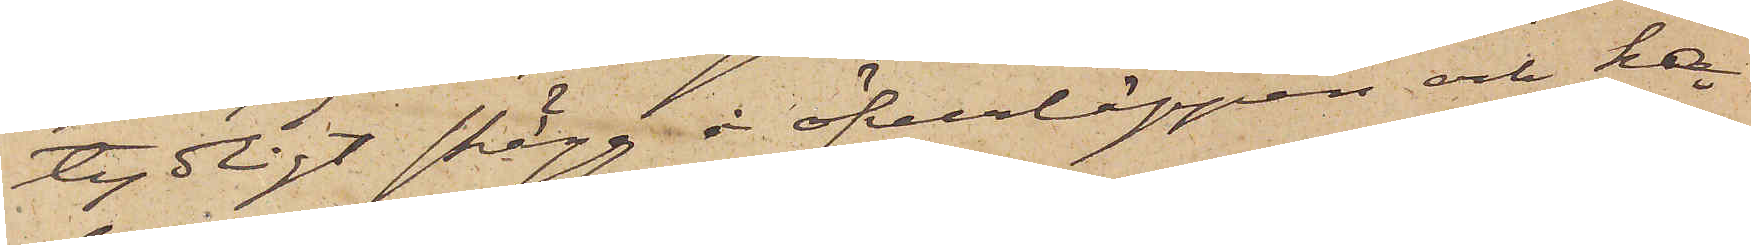tydligt skägg å öfverläppen och ha¬
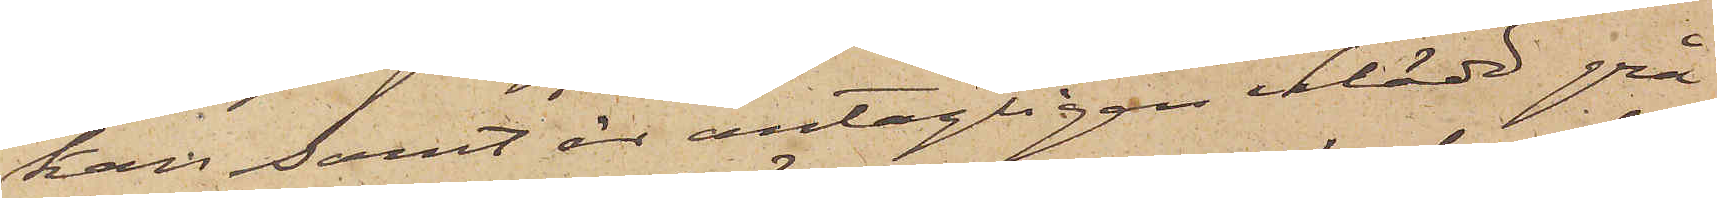kan samt är antagligen iklädd grå
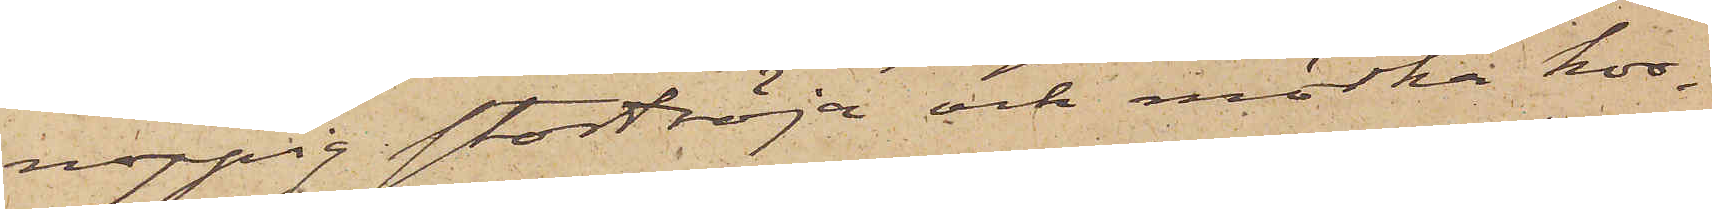noppig stortröja och mörka kor¬
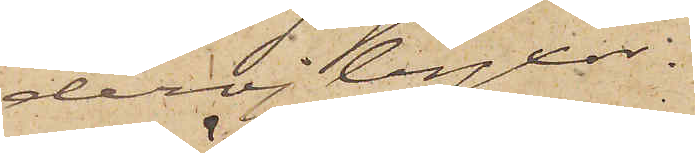derojbyxor.
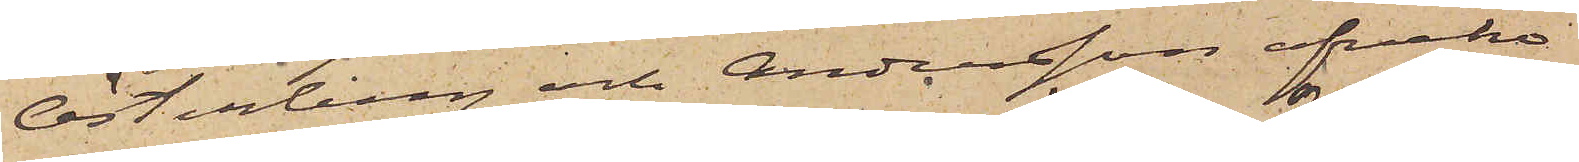Österberg och Andersson afveko
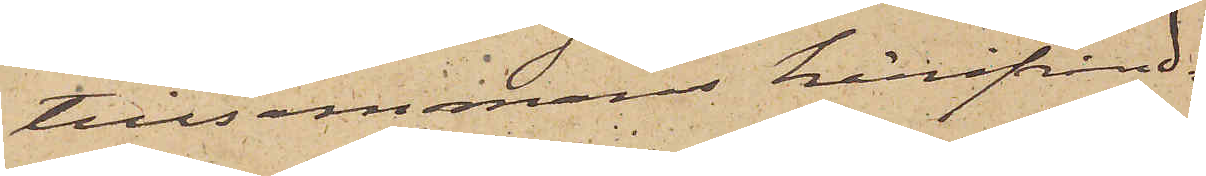tillsammans härifrån 
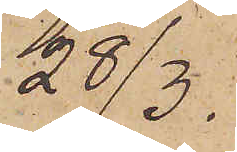28/3.
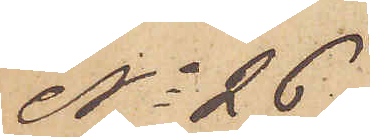No 26.
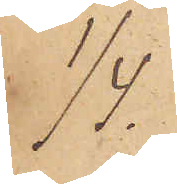1/4.
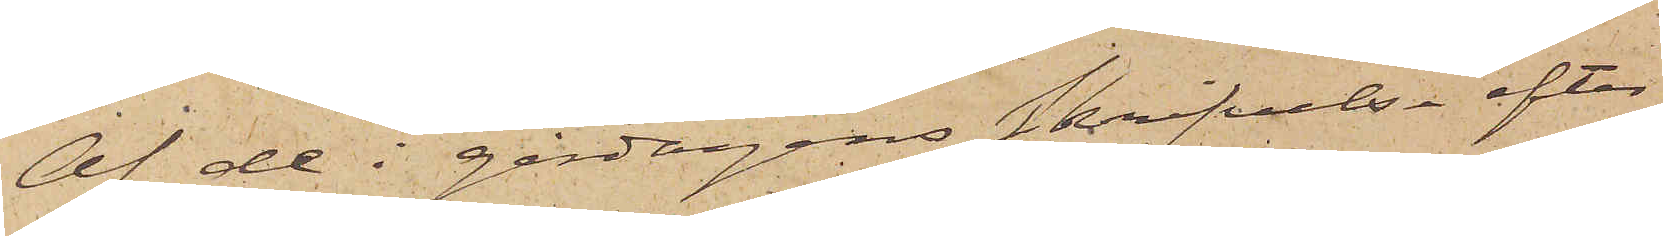Af de i gårdagens skrifvelse efter¬
